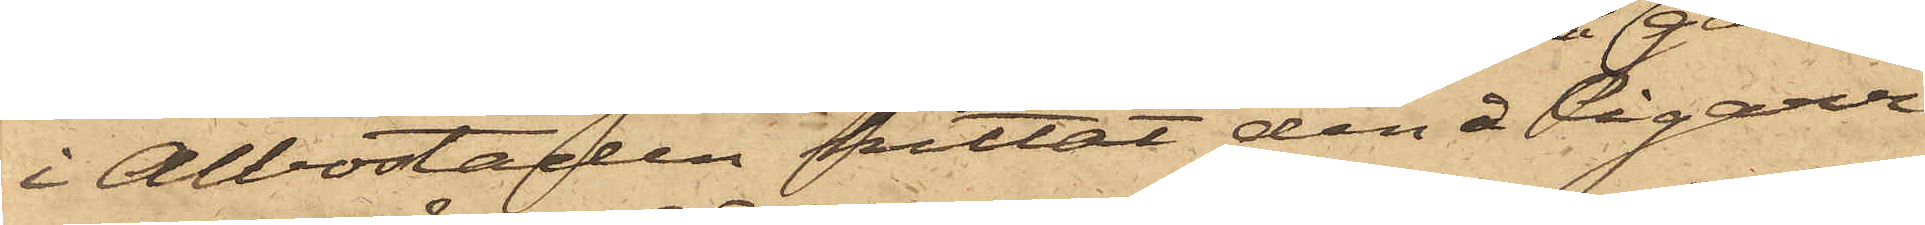i Albostaden hittat den å Cigarr¬
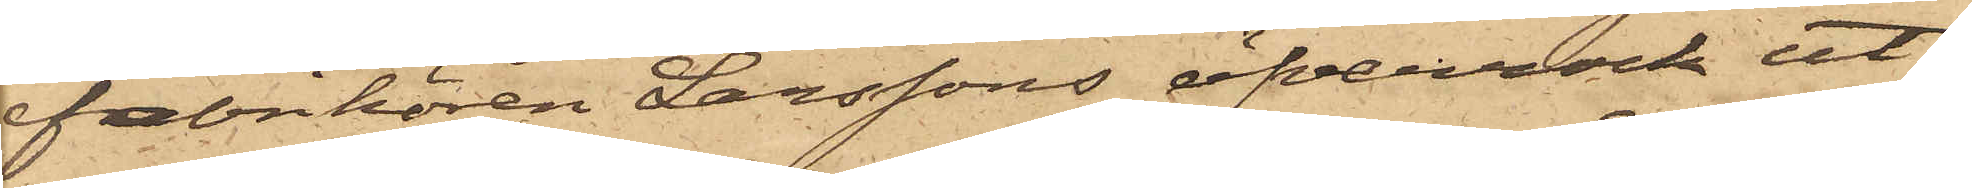fabrikören Larssons öfverrock ut¬
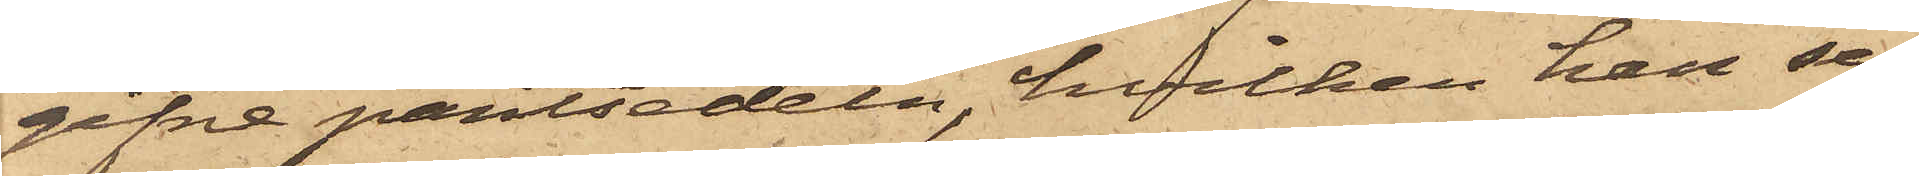gifne pantsedeln, hvilken han se¬
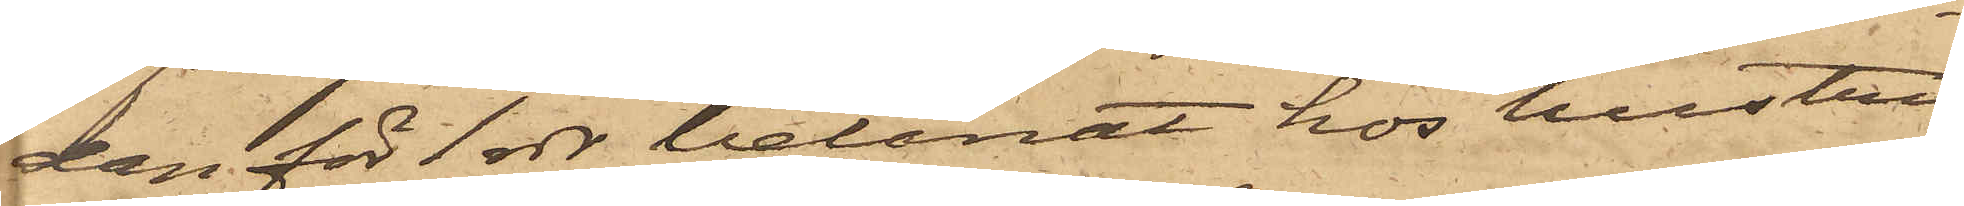dan för 1 rdr belånat hos hustru
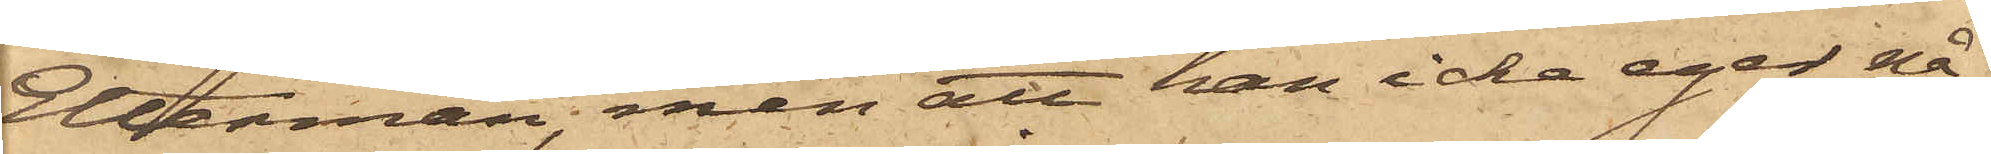Elterman, men att han icke eger nå¬
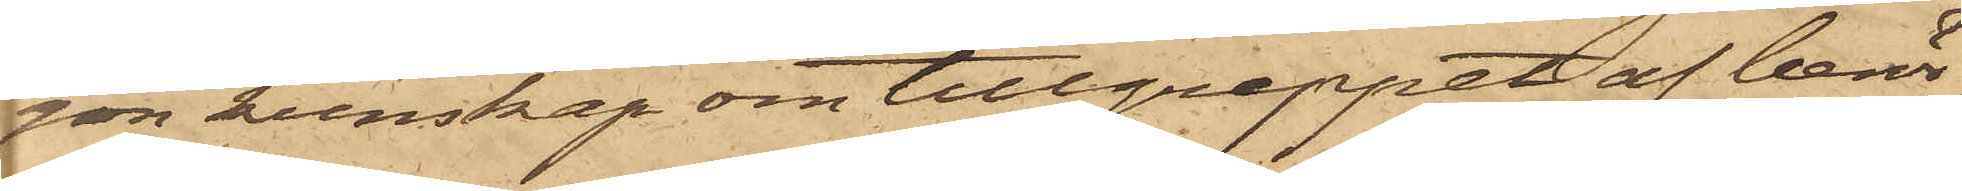son kunskap om tillgreppet af berör¬
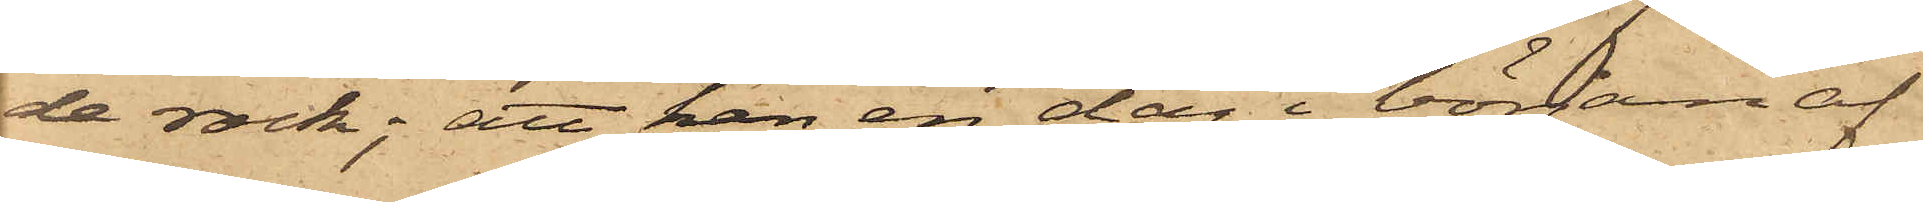de rock; att han en dag i början af
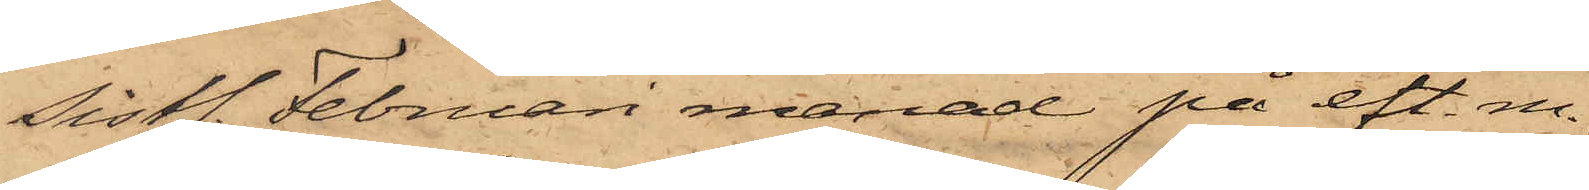sistl. Februari månad på eft. m.
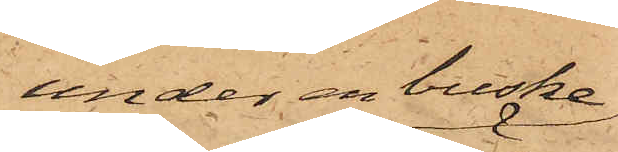under en buske
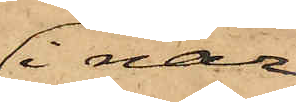i när¬
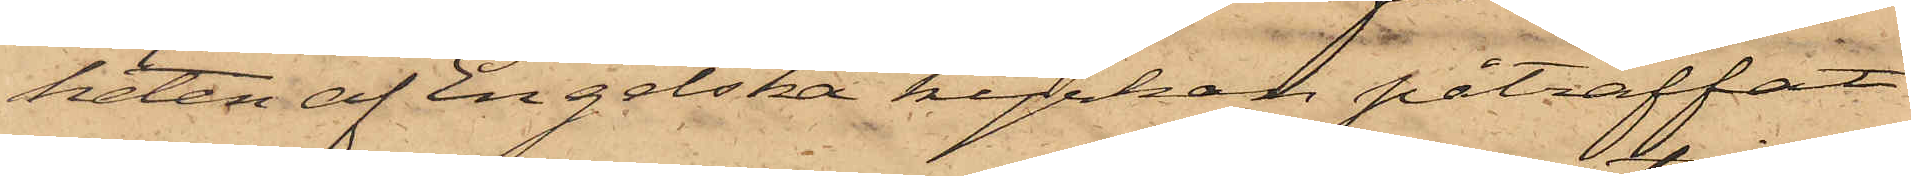heten af Engelska kyrken påträffat
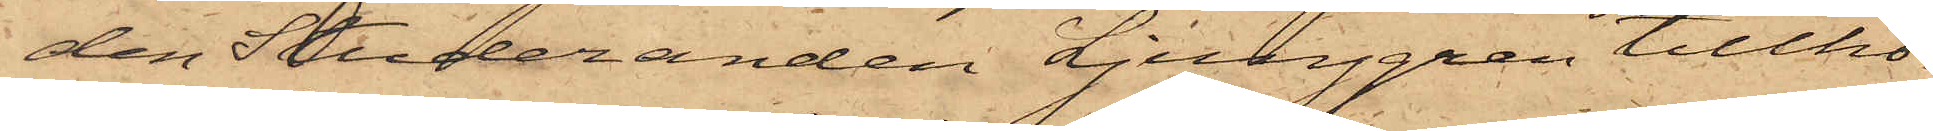den Studeranden Ljunggren tillhö¬
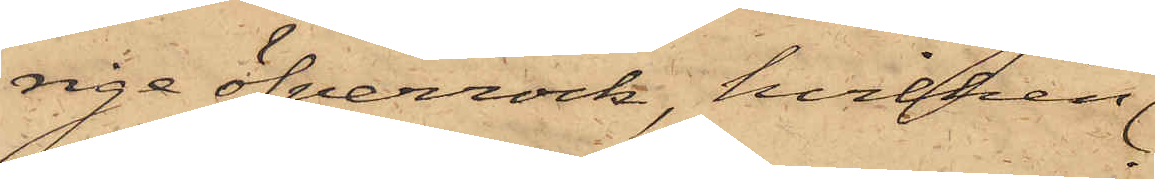rige överrock, hvilken
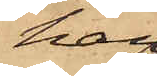han
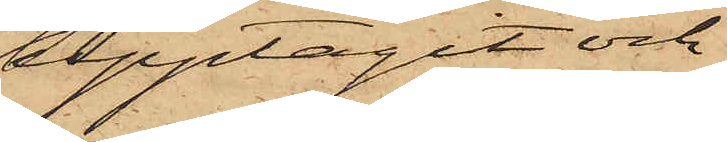upptagit och
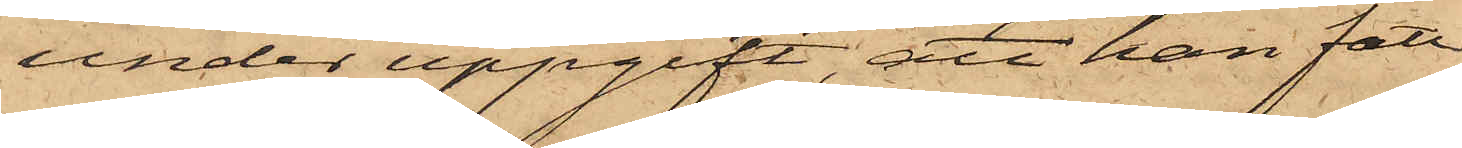under uppgift, att han fått
